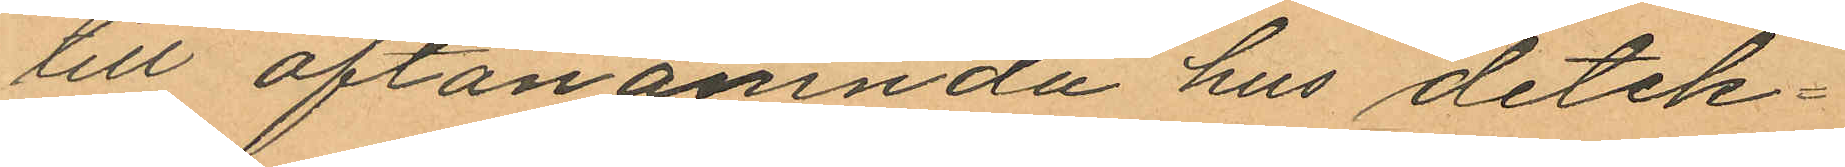till oftanämnda hus detek¬
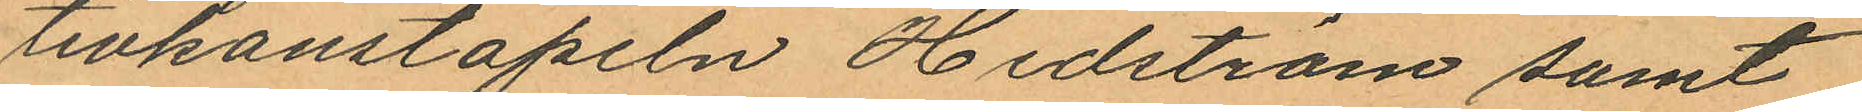tivkonstapeln Hedström samt
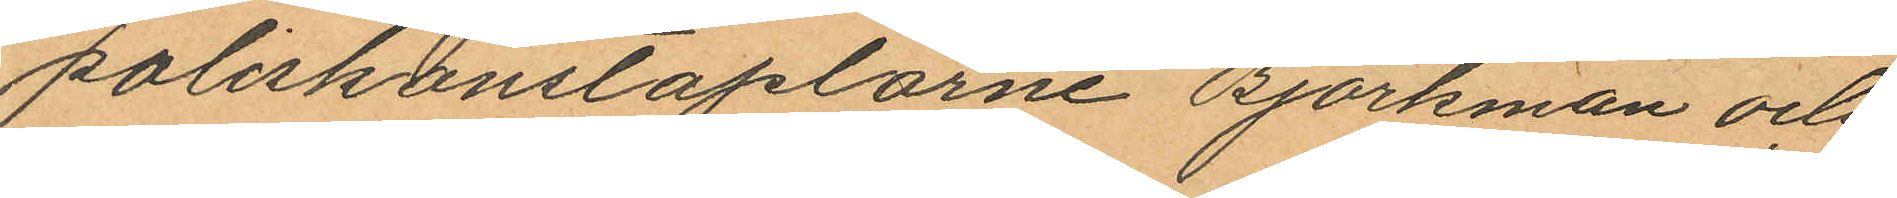poliskonstaplarne Björkman och
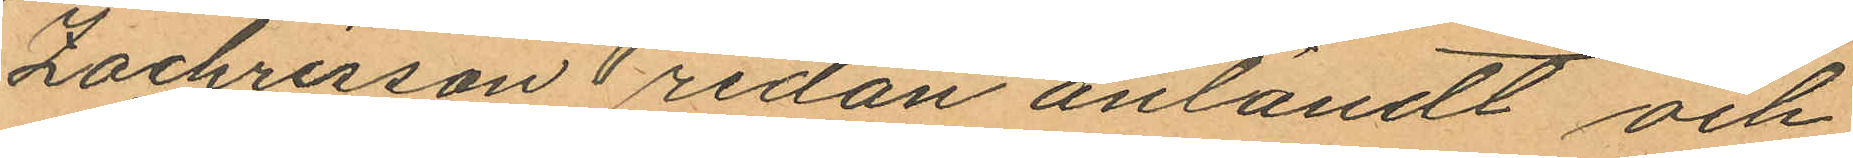Zachrisson redan anländt och
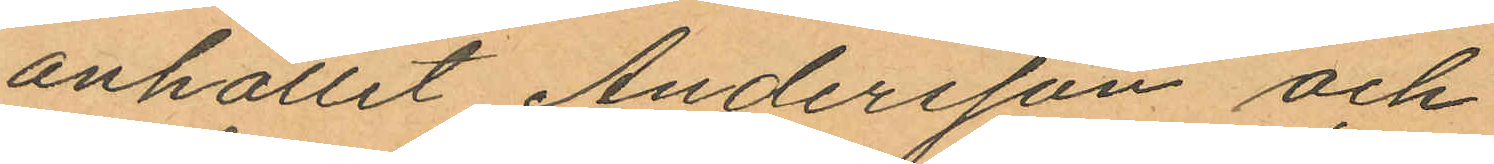anhållit Andersson och
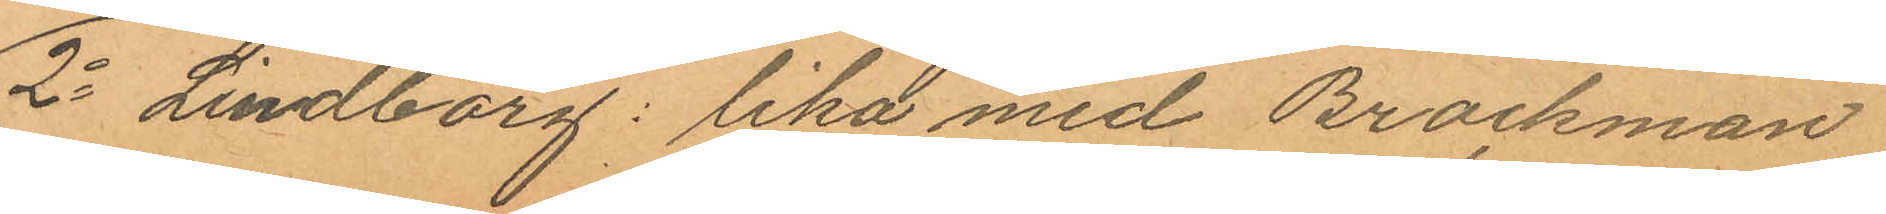2o Lindborg: lika med Brockman
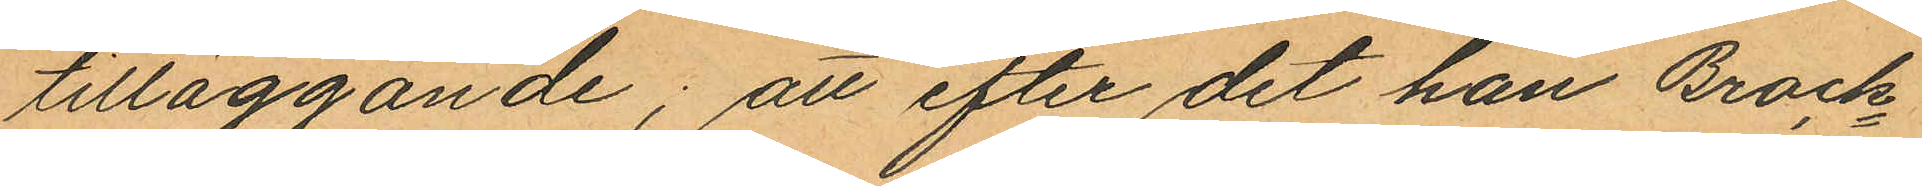tilläggande; att efter det han Brock¬
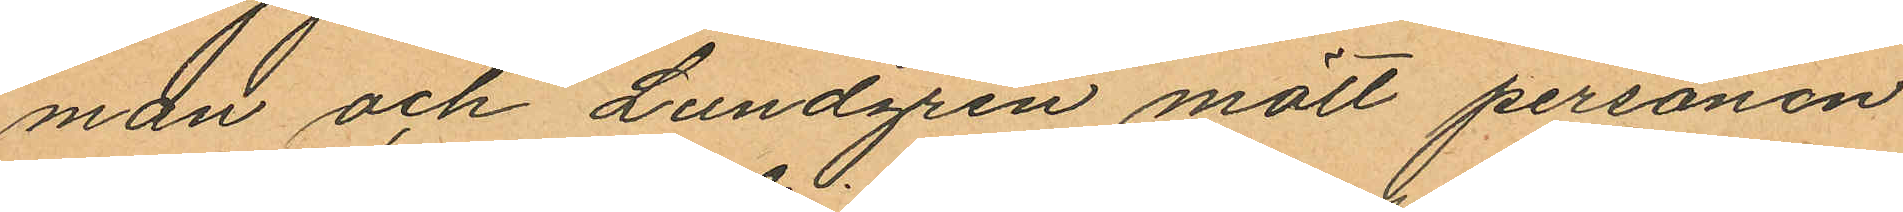man och Lundgren mött personen
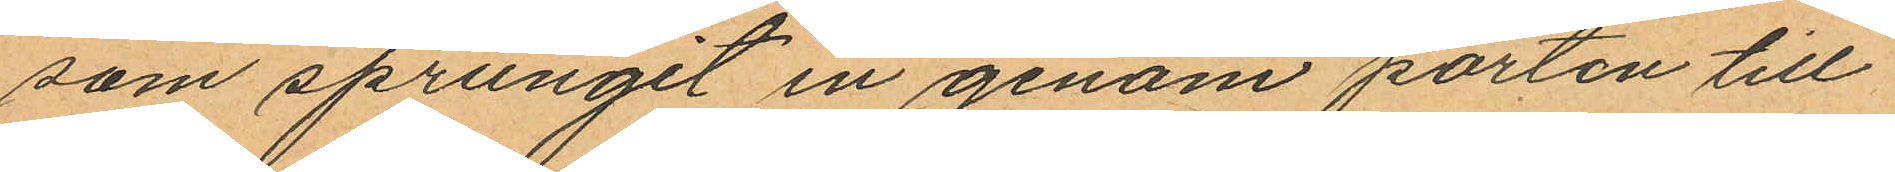som sprungit in genom porten till
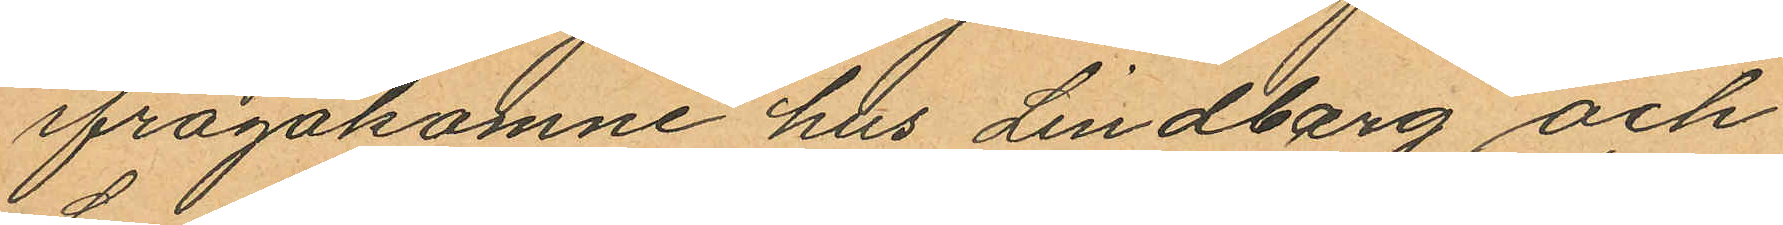ifrågakomne hus Lindberg och
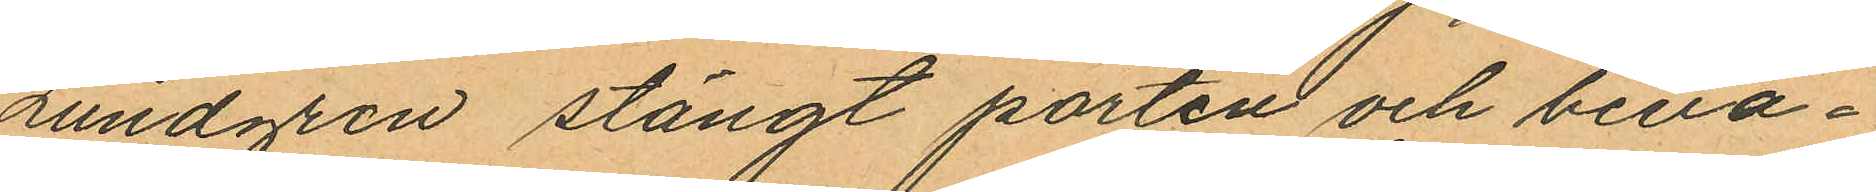Lundgren stängt porten och beva¬
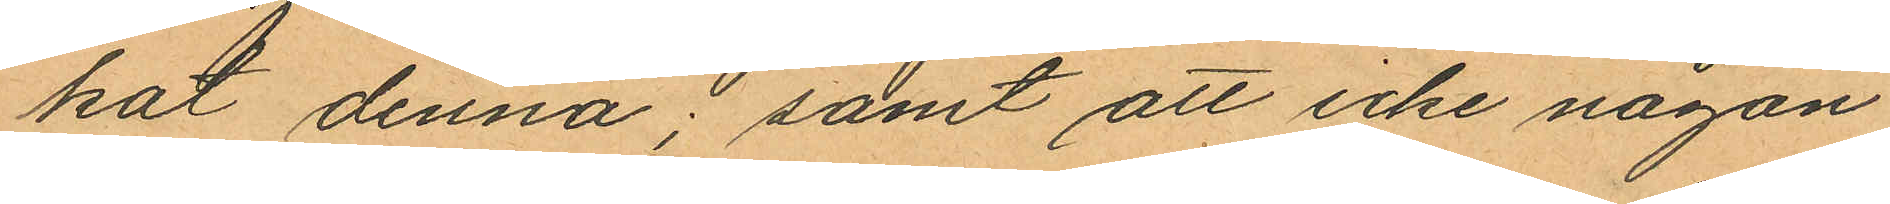kat denna; samt att icke någon
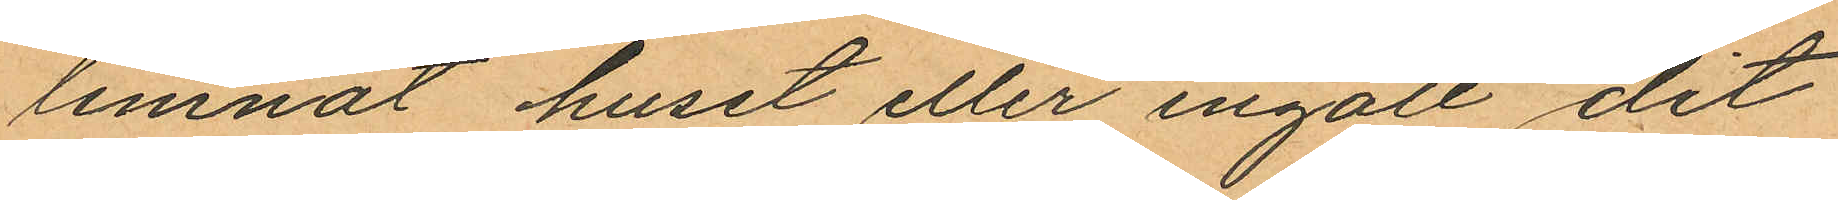lemnat huset eller ingått dit
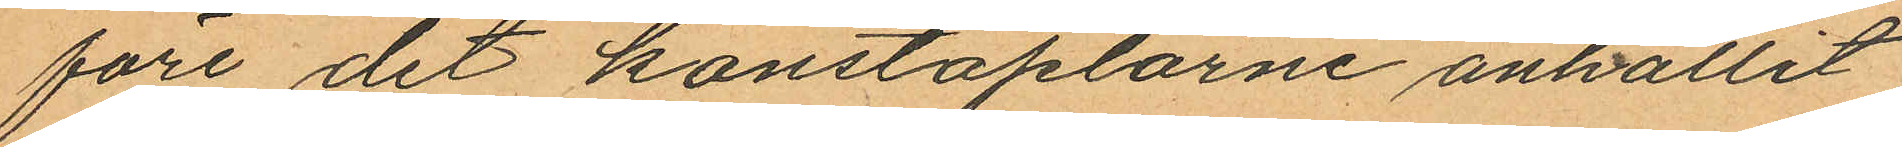före det konstaplarne anhållit
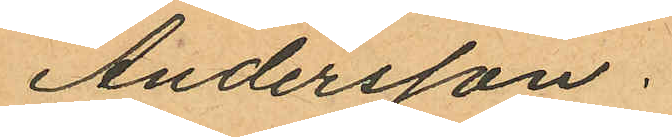Andersson.
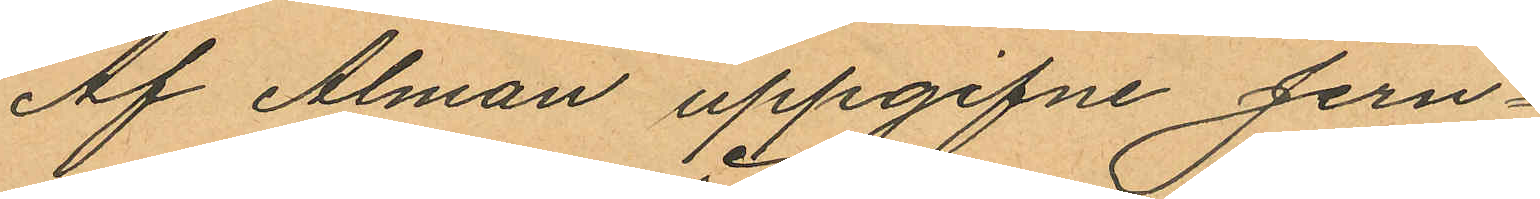Af Alman uppgifne Jern¬
